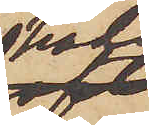hade
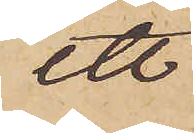ett
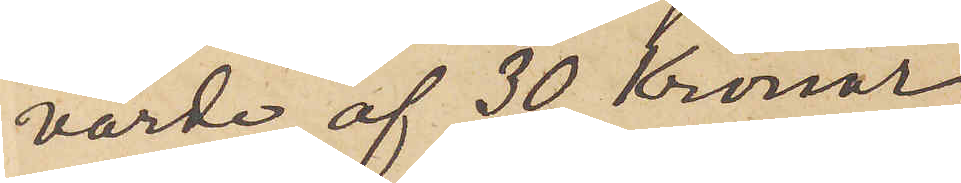värde af 30 Kronor,
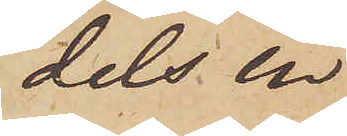dels en
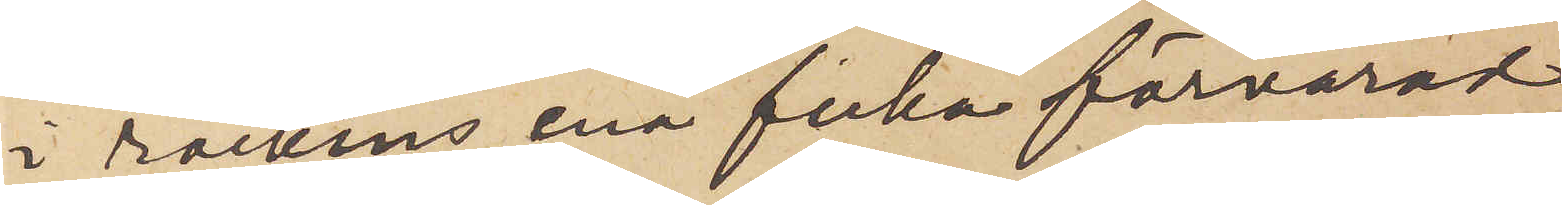i rockens ena ficka förvarad
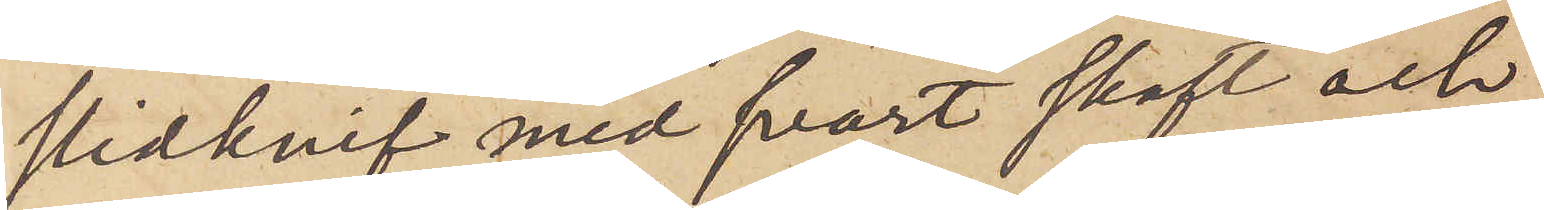slidknif med svart skaft och
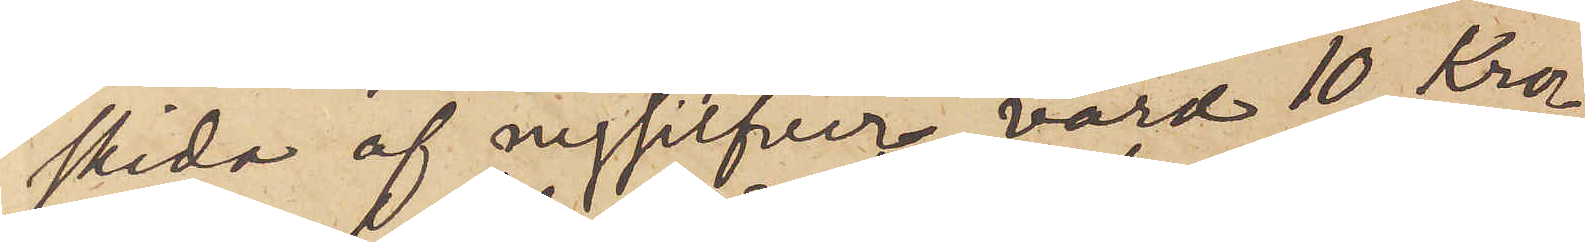skida af nysilfver värd 10 kro¬
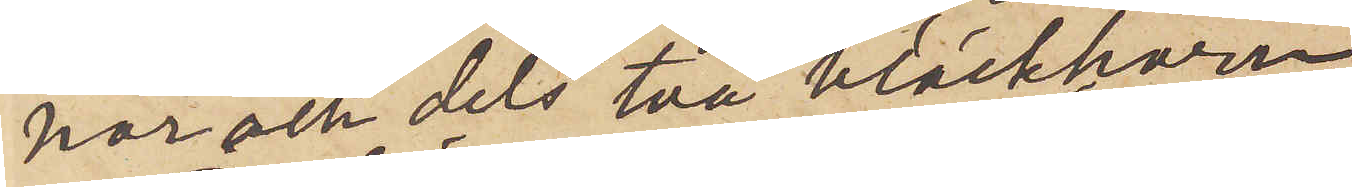por och dels två bläckhorn.
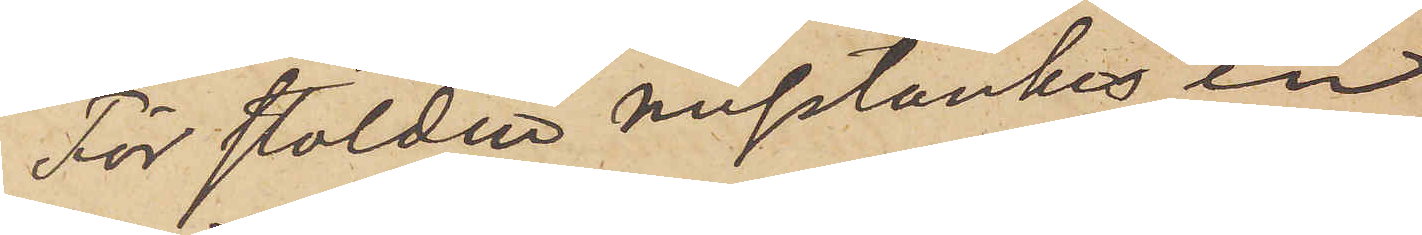För stölden misstänkes en
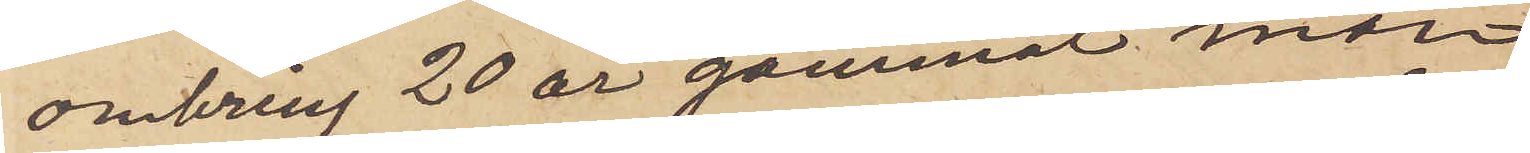omkring 20 år gammal men
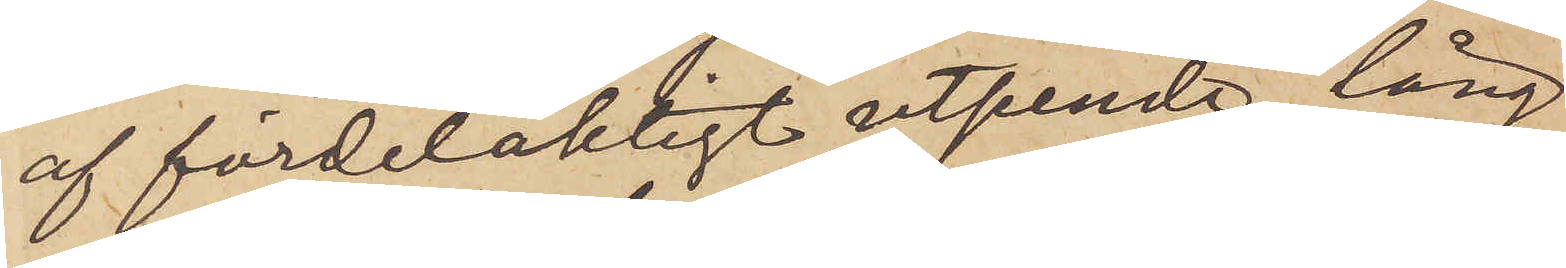af fördelakligt utseende, lång
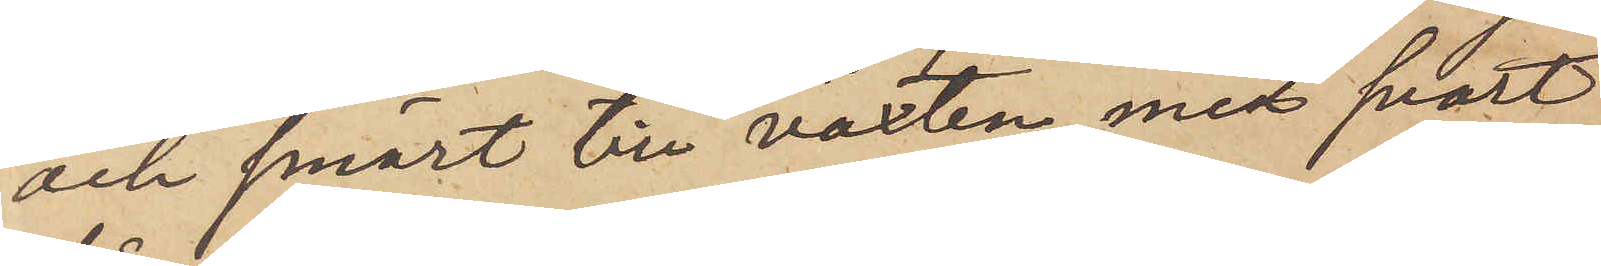och smärt till växten, med svart
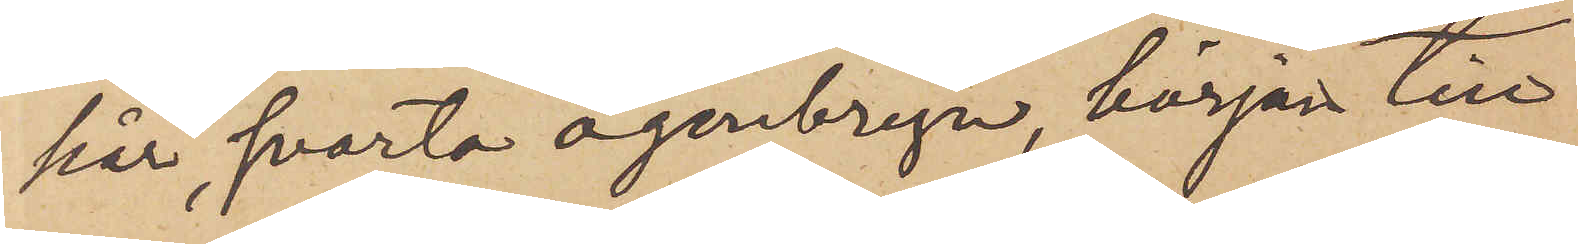hår, svarta ögonbryn, början till
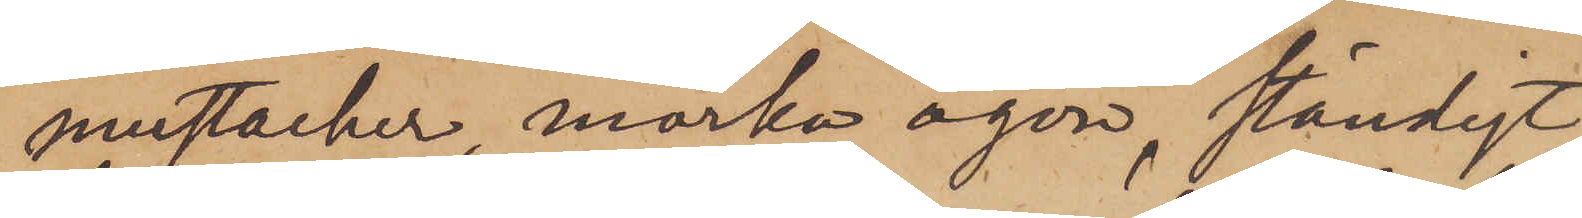mustacher, mörka ögon, ständigt
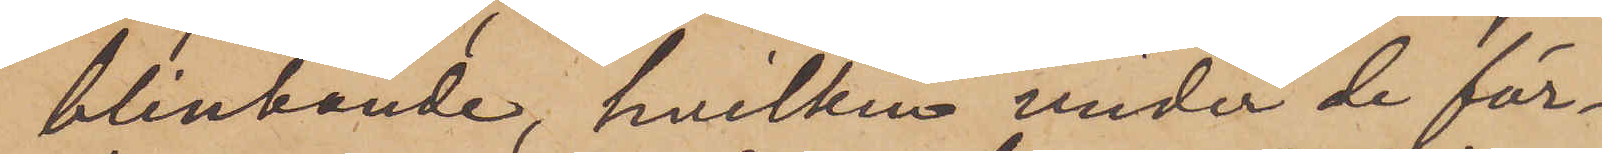blinkande, hvilken under de för¬
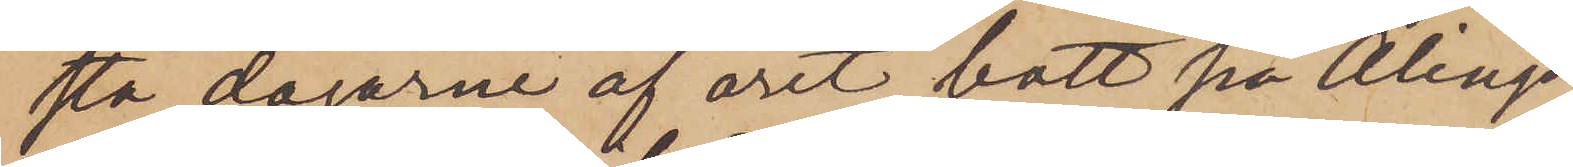sta dagarne af året bott på Alings¬
